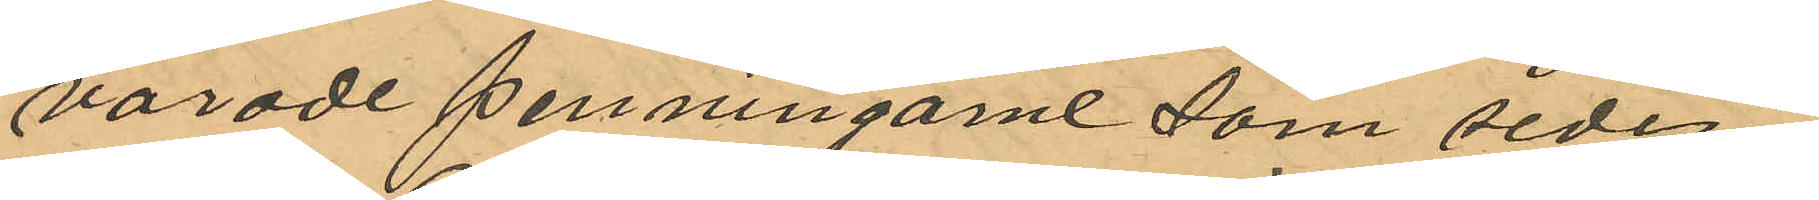varade penningarne som seder¬
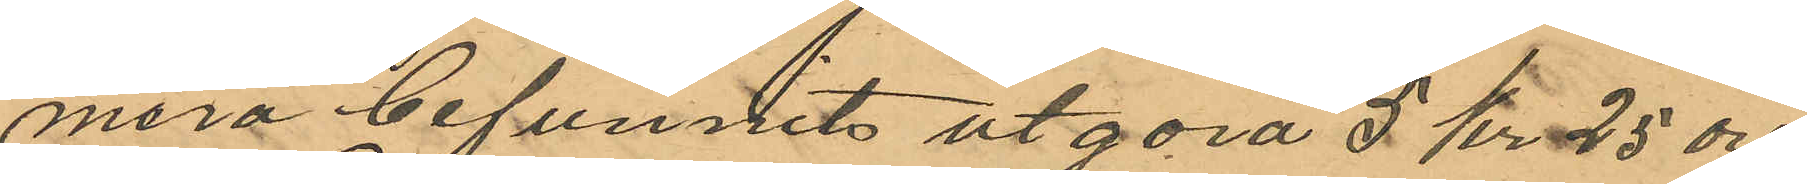mera befunnits utgöra 5 kr 25 öre.
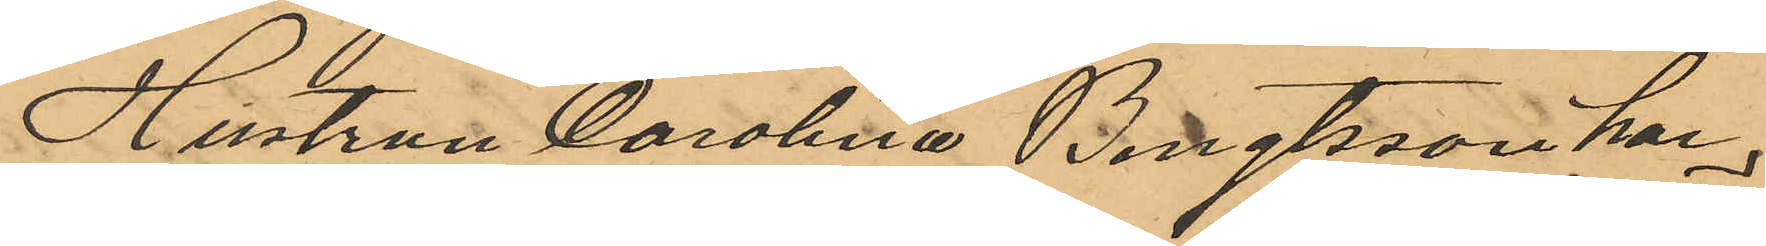Hustrun Carolina Bengtsson har
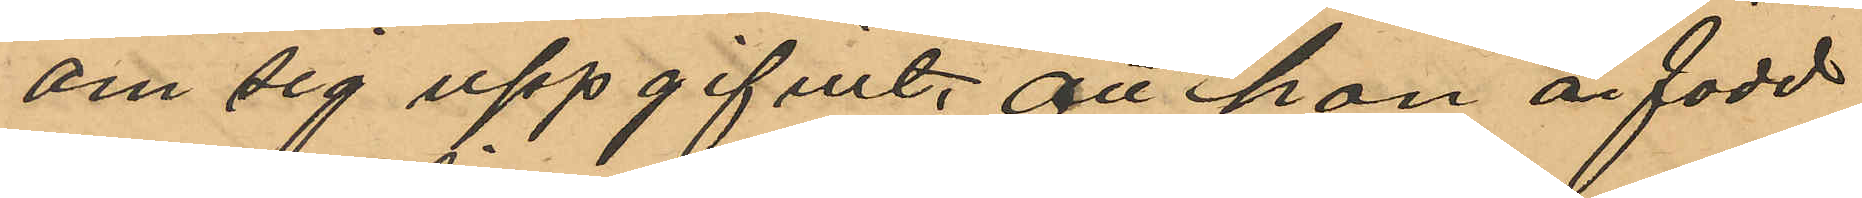om sig uppgifvit, att hon är född
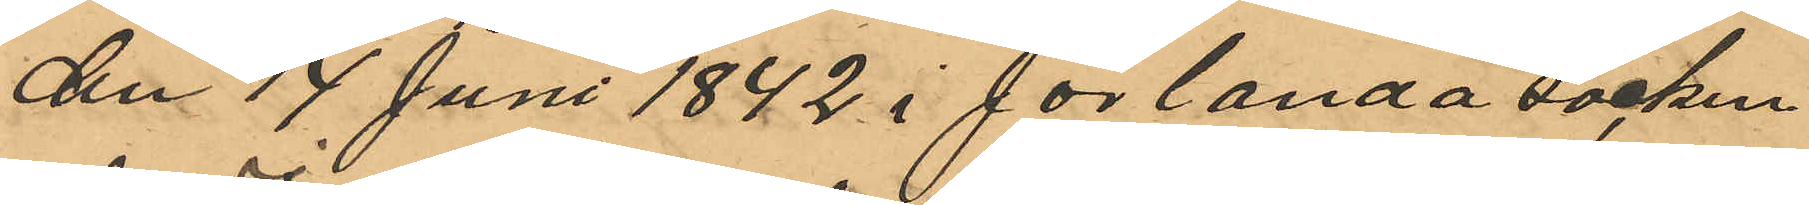den 17 Juni 1842 i Jörlanda socken
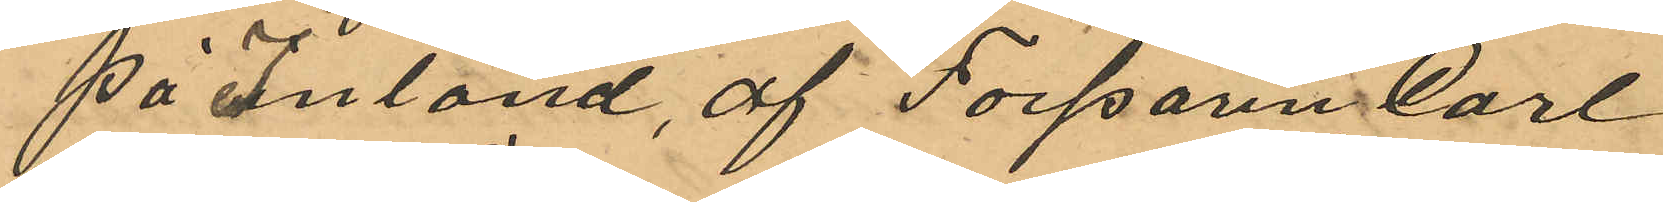på Inland, af Torparen Carl
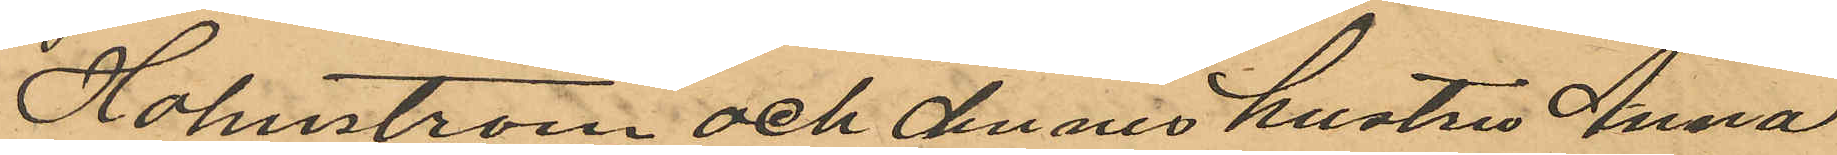Holmström och dennes hustru Anna
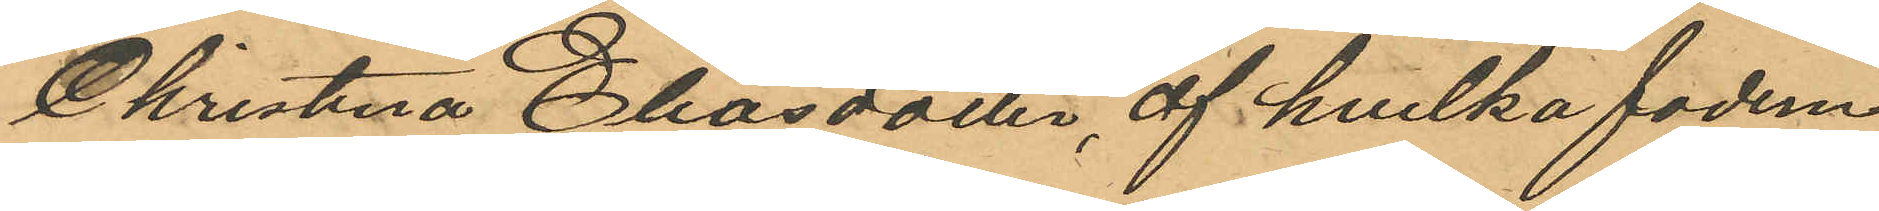Christina Eliasdotter, af hvilka fadren
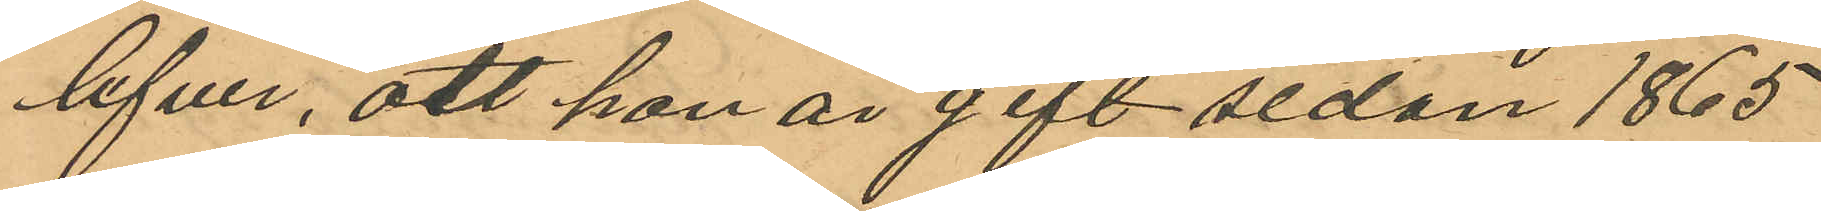lefver, att hon är gift sedan 1865
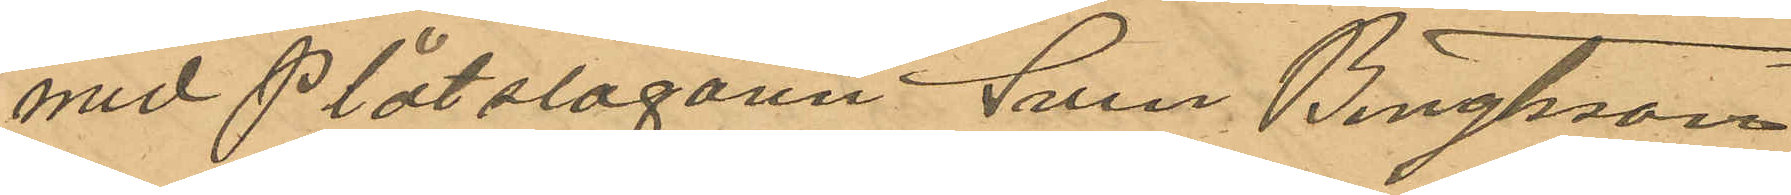med Plåtslagaren Sven Bengtsson
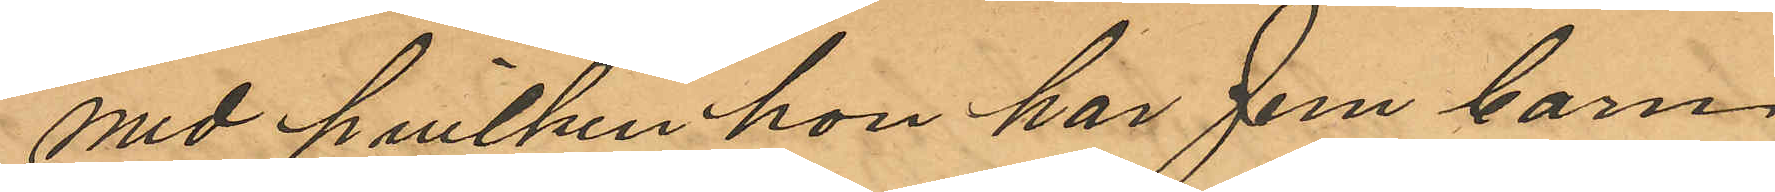med hvilken hon har fem barn
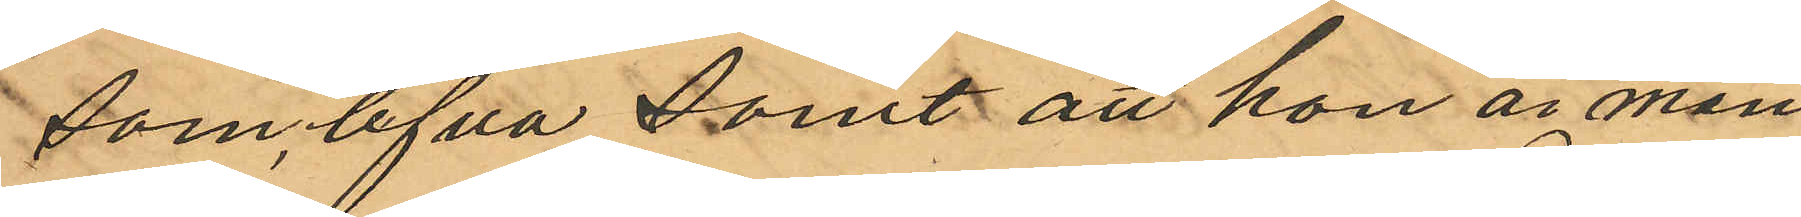som lefva samt att hon är man¬
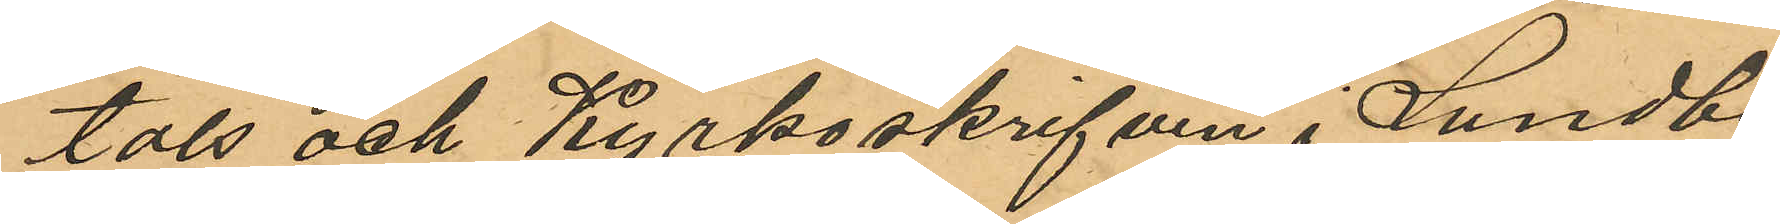tals och Kyrkoskrifven i Lundby
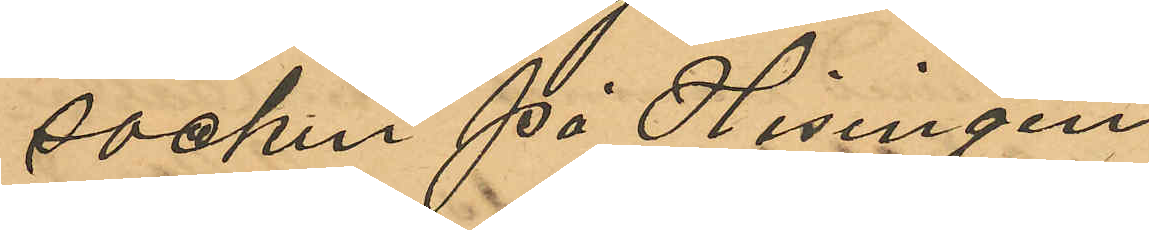socken på Hisingen
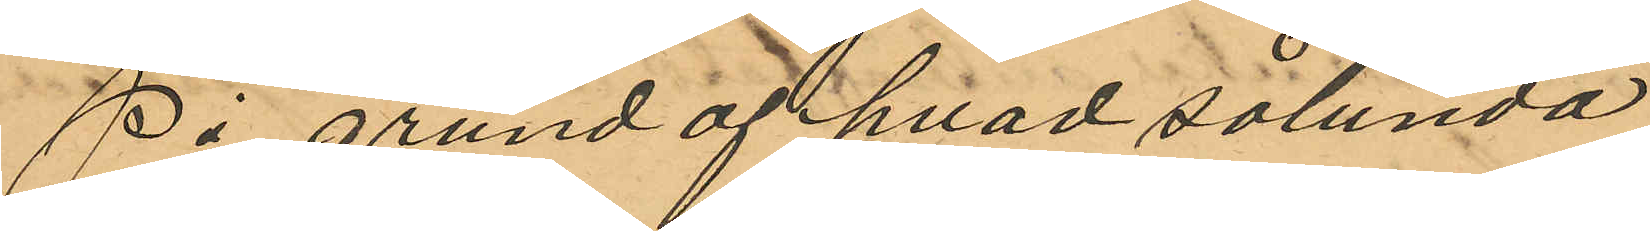På grund af hvad sålunda
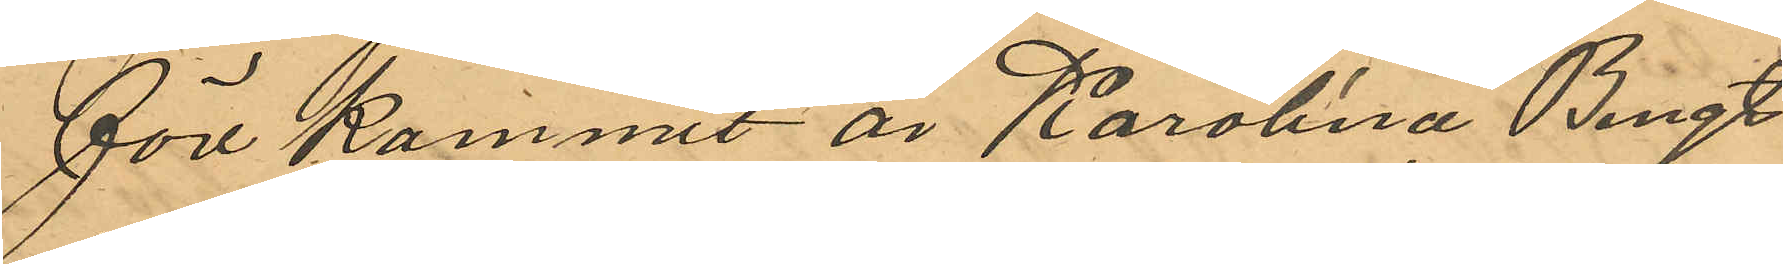förekommit är Karolina Bengt¬
